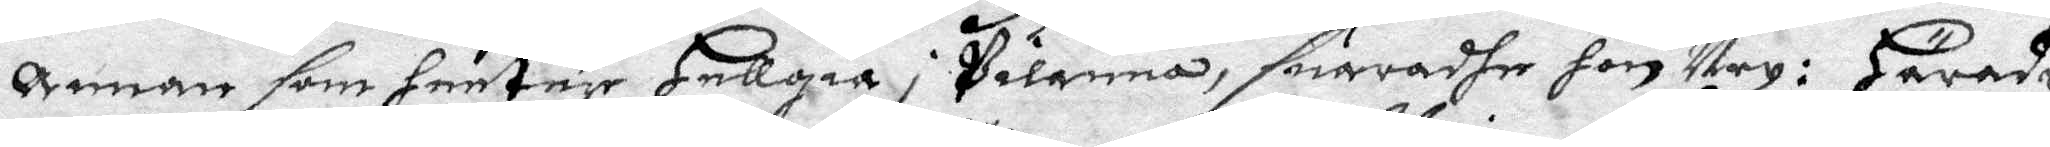annan som heeter Hellgia i pilanna, suaradhe hon Ney: Häradz¬
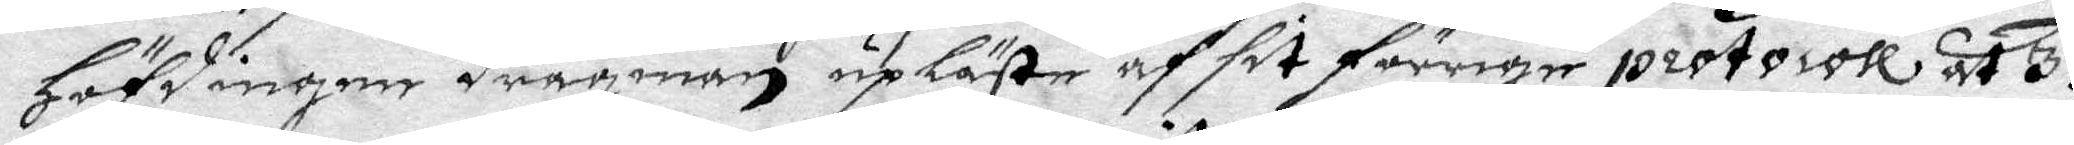Höfdinge dragman upläste af sit förrige protocoll at 3:ne
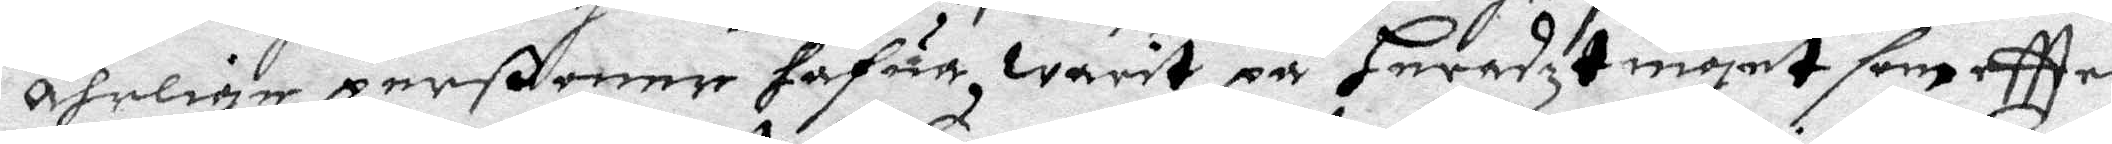ährlige perßoner hafua, warit på Heradztinget som eftter
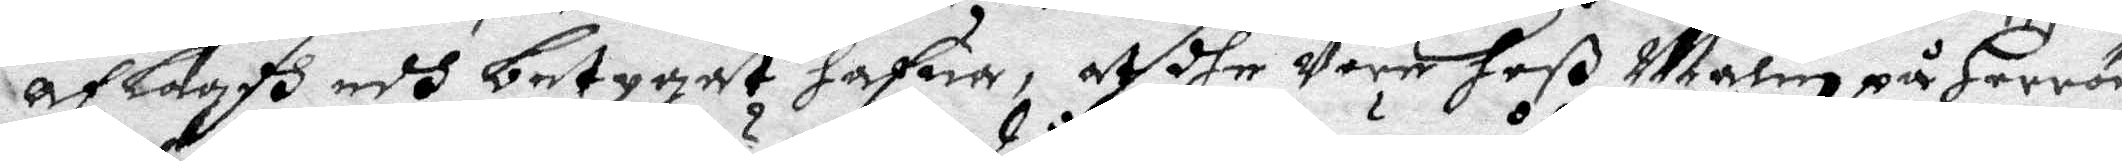aflagdh edh betygat hafua, at dhe Vore hoß Malin på Herrön
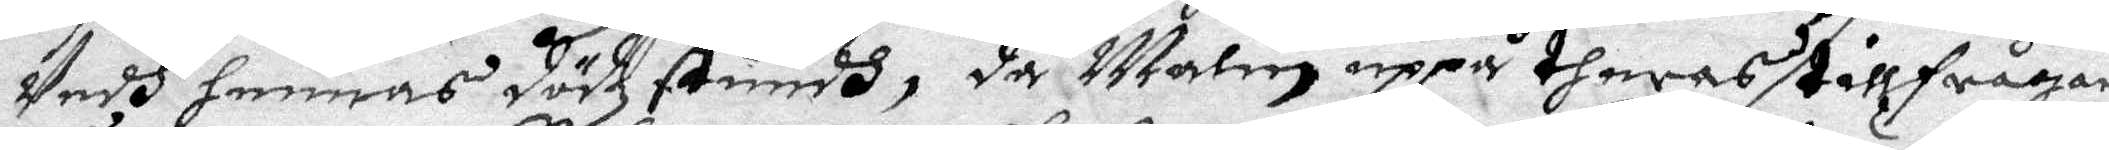Vedh hennes dödzstundh, då malin uppå theras tillfrågan
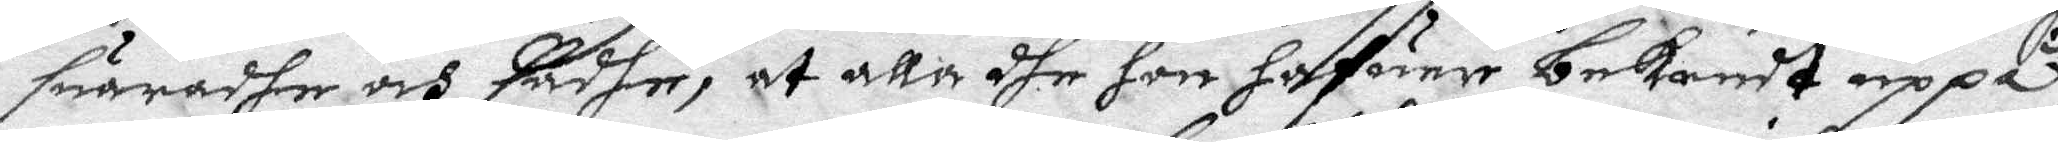suaradhe och sadhe, at alla she hon hafuer bekendt uppå,
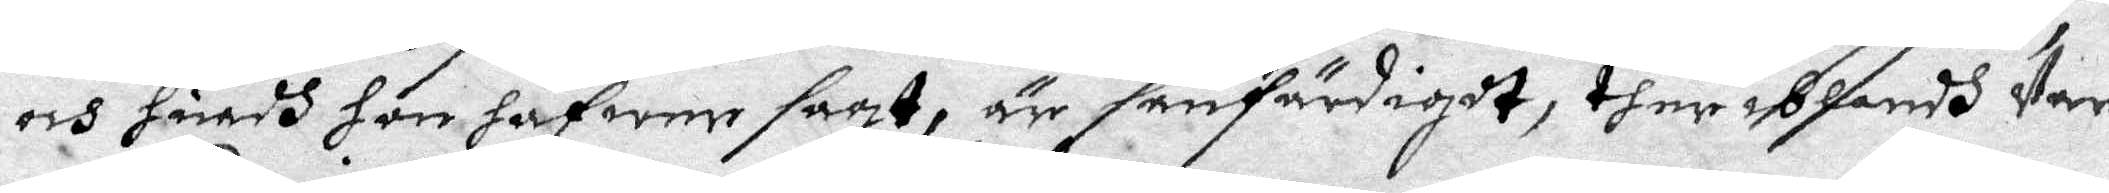och huadh hon hafwer sagt, är sanfärdigdt, ther iblandh Var
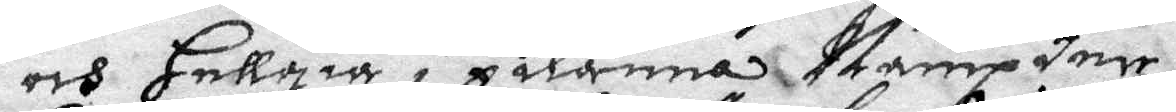och Hellgia i pilanna Nämpder.
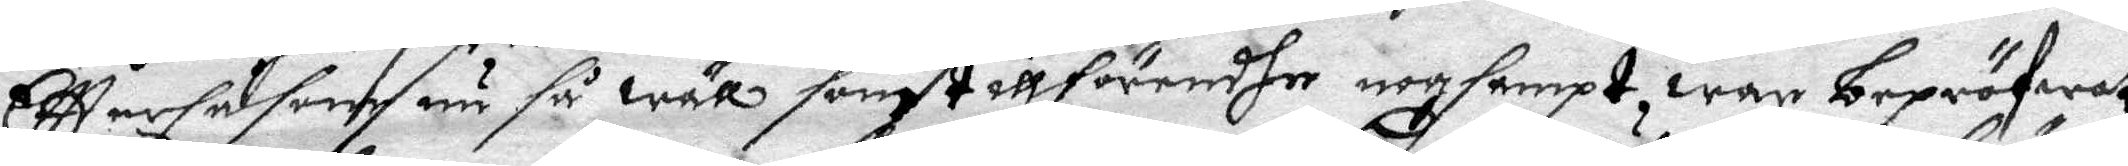Eftter såsom nu så wäll som tillförendhe nogsampt war bepröfwat
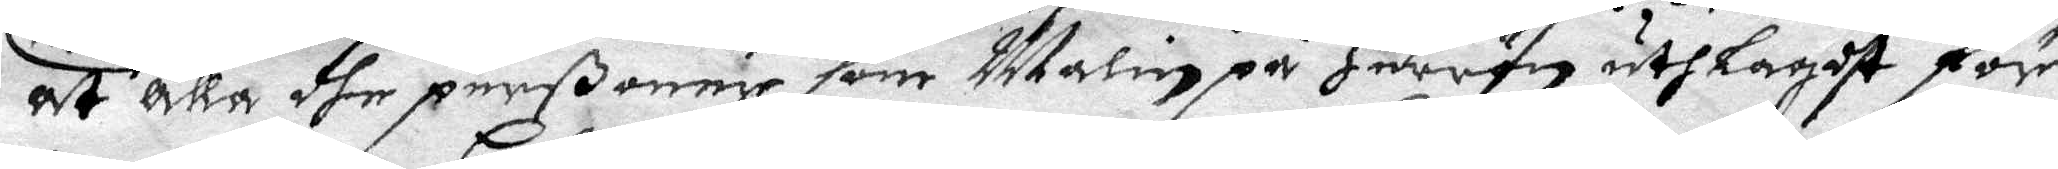at alla dhe perßoner som Malin på Herrön utlagdt för
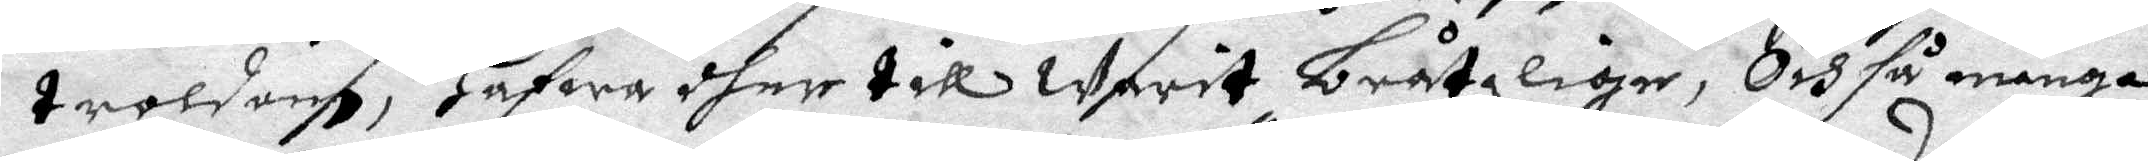troldom, hafwa dher till Warit bråtzlige, Och så många
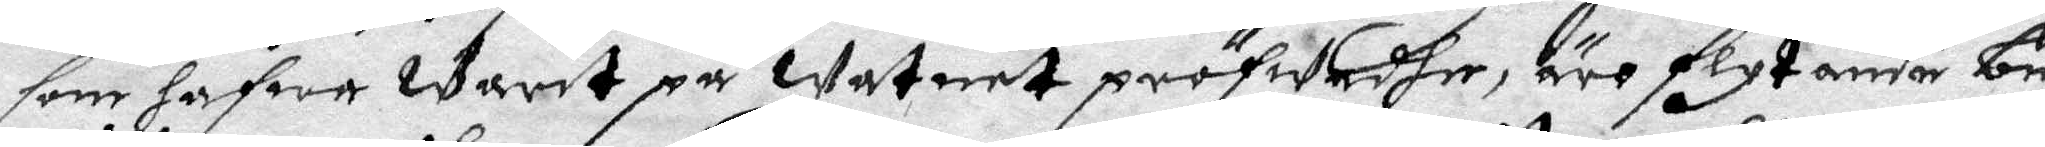som hafwa Warit på Watnet pröfwadhe, äro flytande be¬
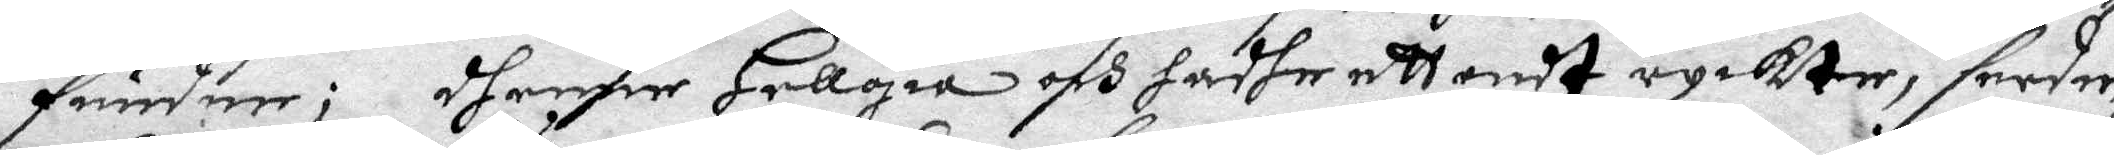funder; dhenne Hellgia och hadhe ett ondt ryckte, sedee¬
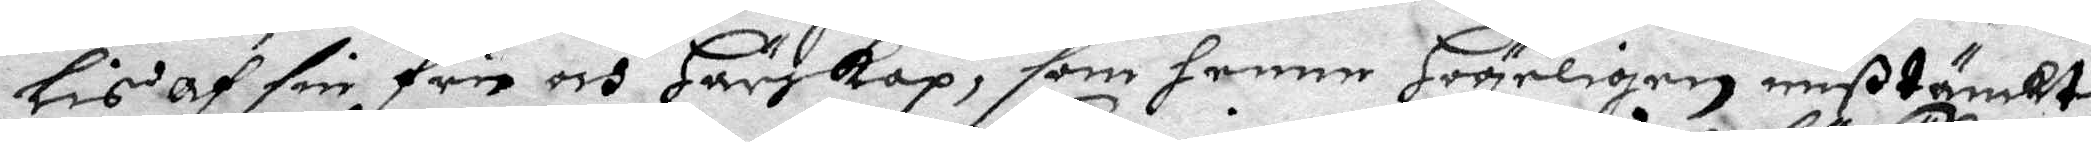lis af sin Fru och Härskap, som henne Högeligen mißtänkte
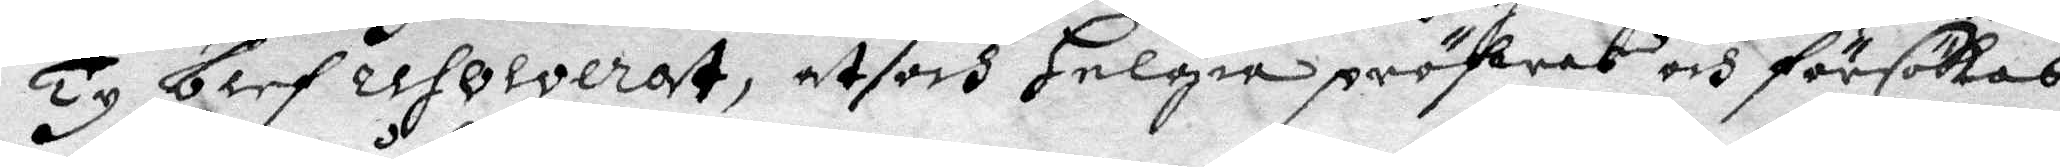Ty blef resolverat, at och Helgia pröfvas och försökas
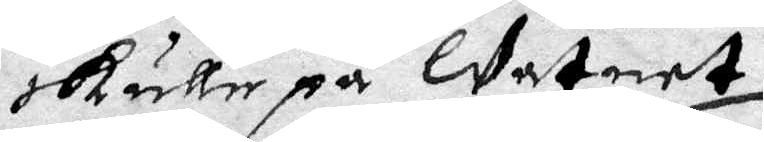skulle på Watnet.
